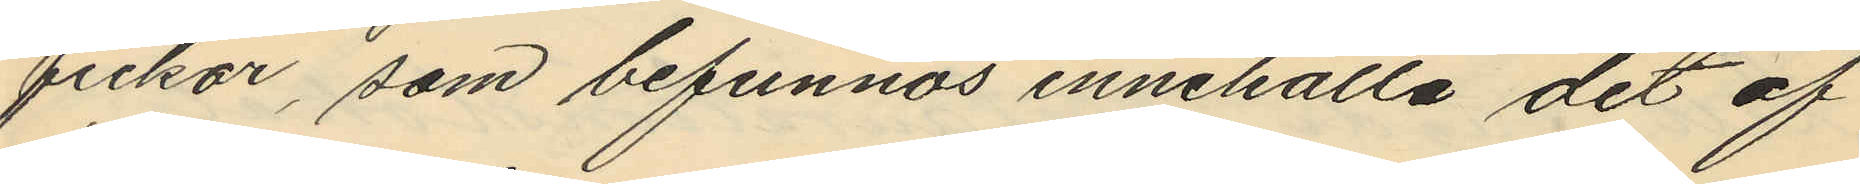fickor, som befunnos innehålla det af
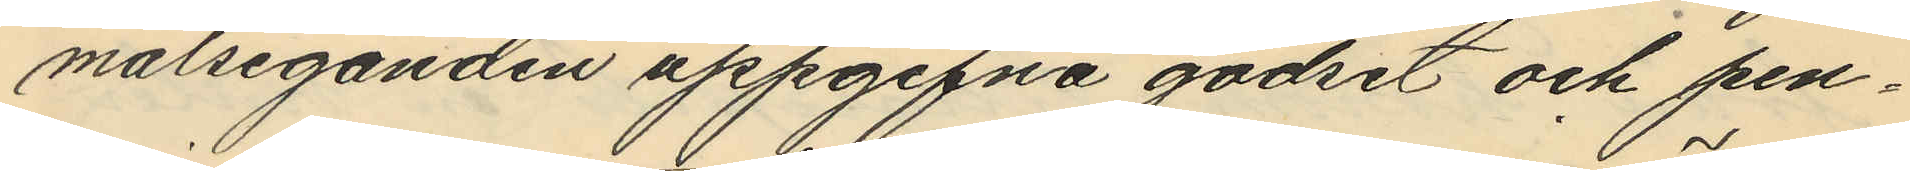målseganden uppgifna godset och pen¬
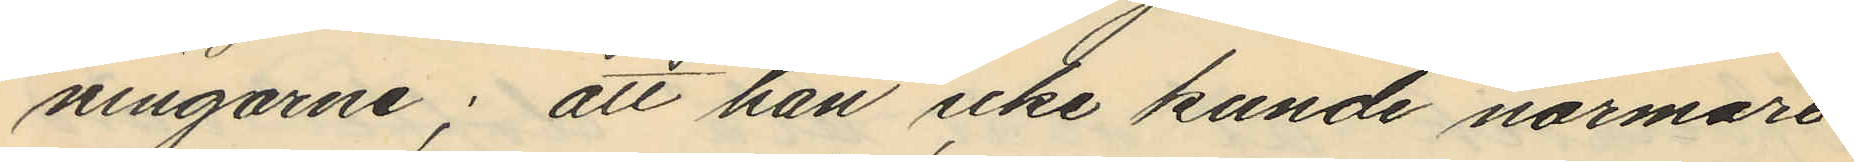ningarne; att han icke kunde närmare
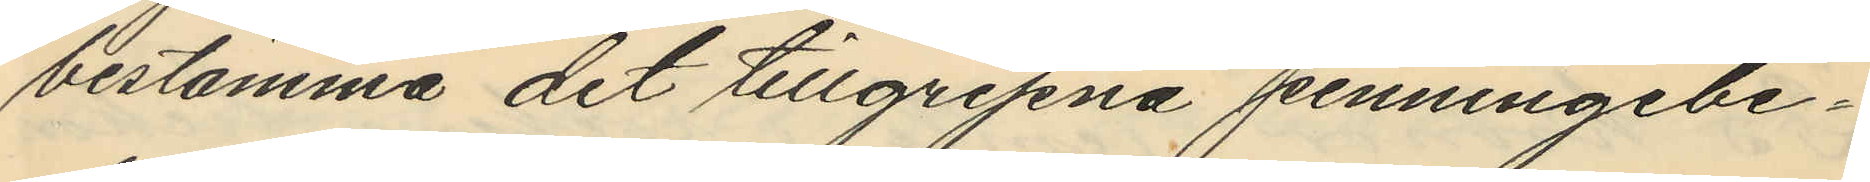bestämma det tillgripna penningebe¬
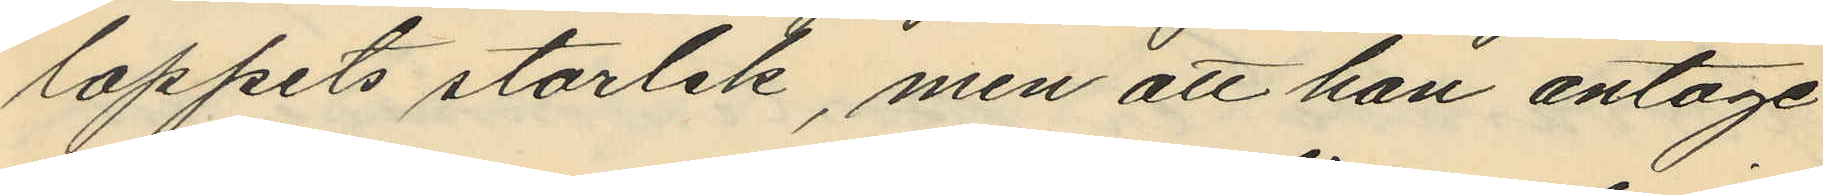loppets storlek, men att han antage
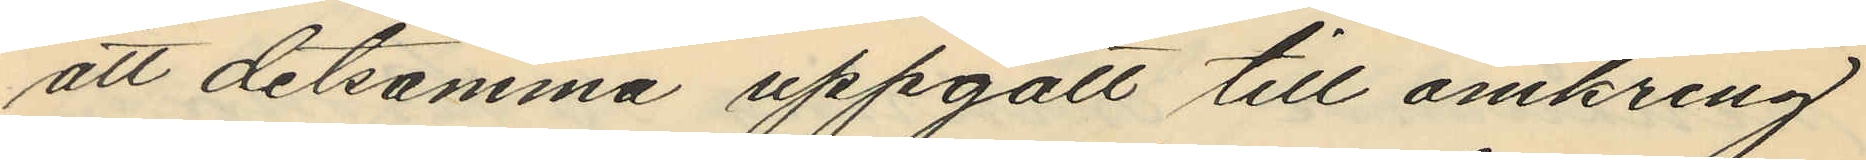att detsamma uppgått till omkring
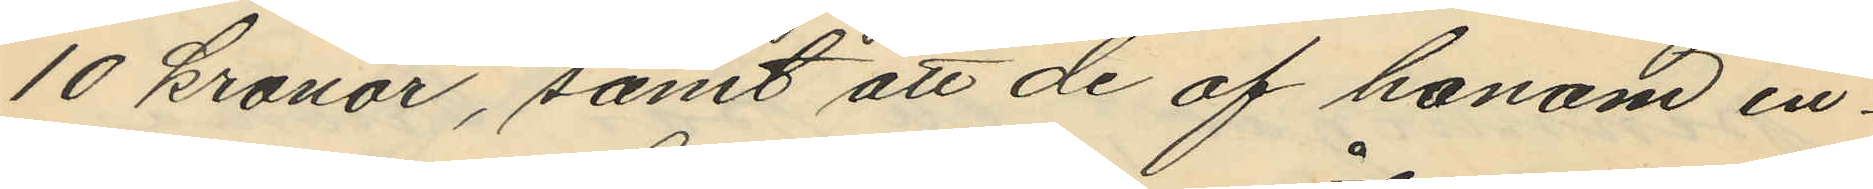10 kronor, samt att de af honom in¬
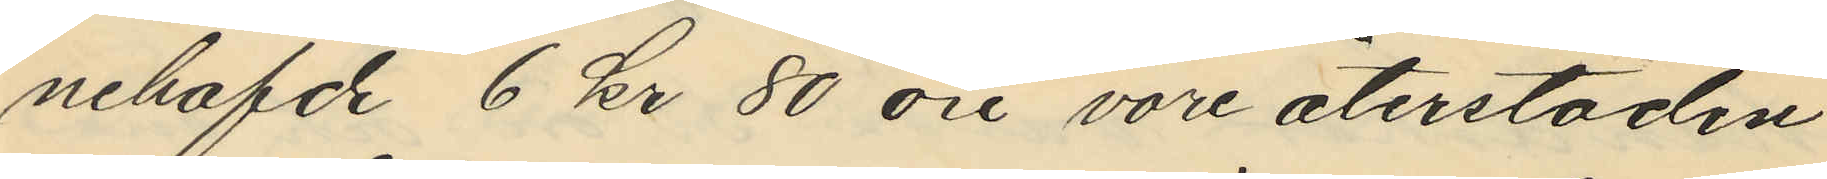nehafde 6 kr 80 öre vore återstoden
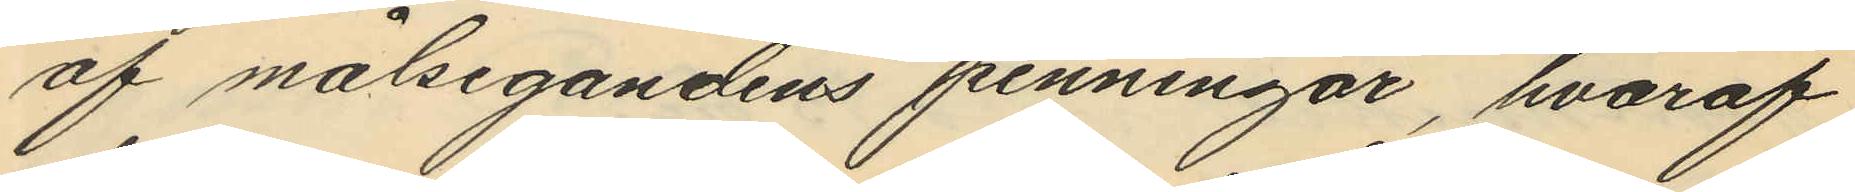af målsegandens penningar, hvaraf
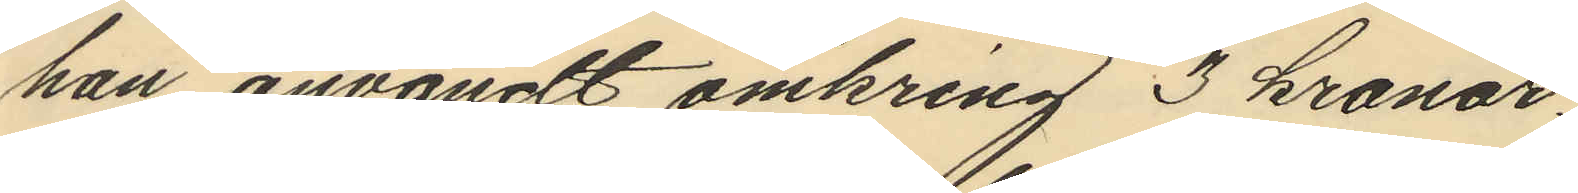han användt omkring 3 kronor
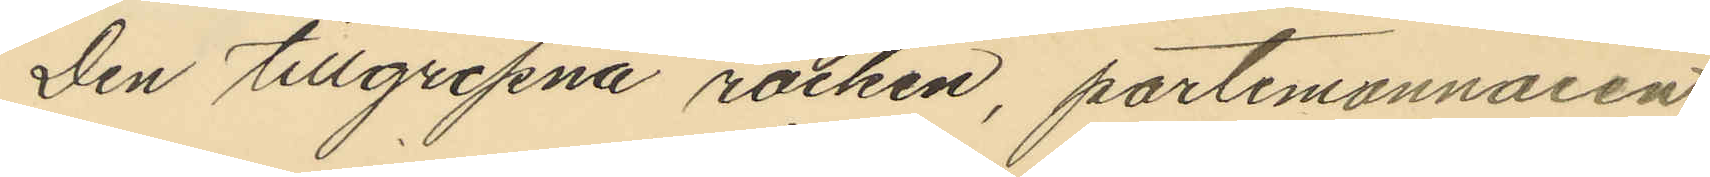Den tillgripna rocken, portmonnaien
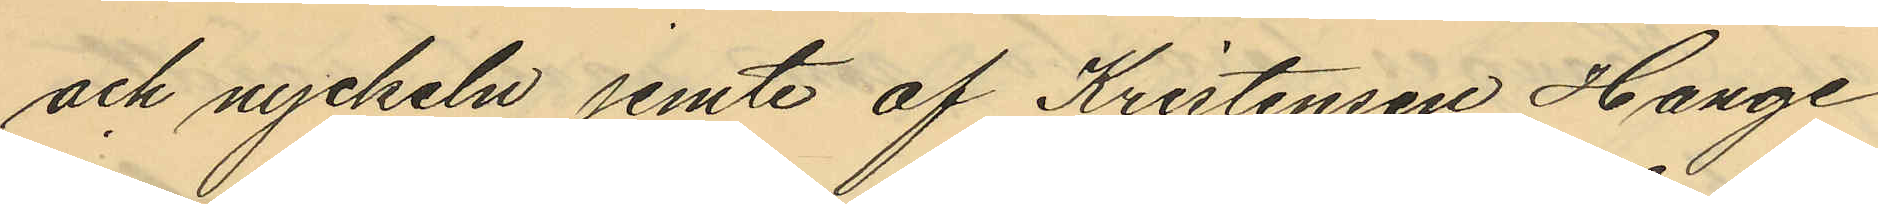och nyckeln jemte af Kristensen Hange
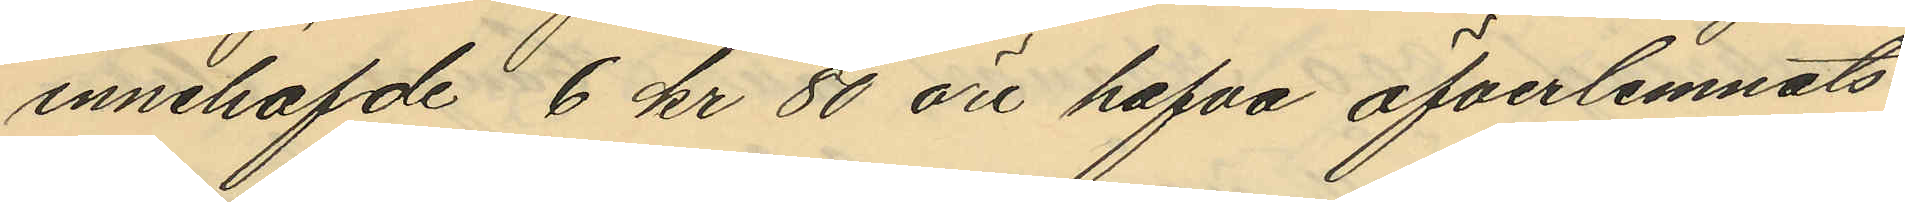innehafde 6 kr 50 öre hafva öfverlemnats
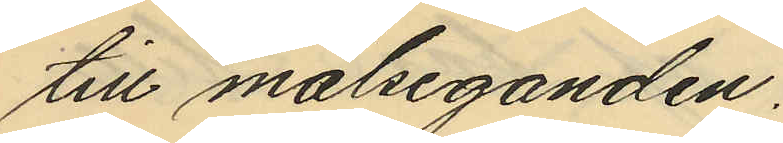till målseganden.
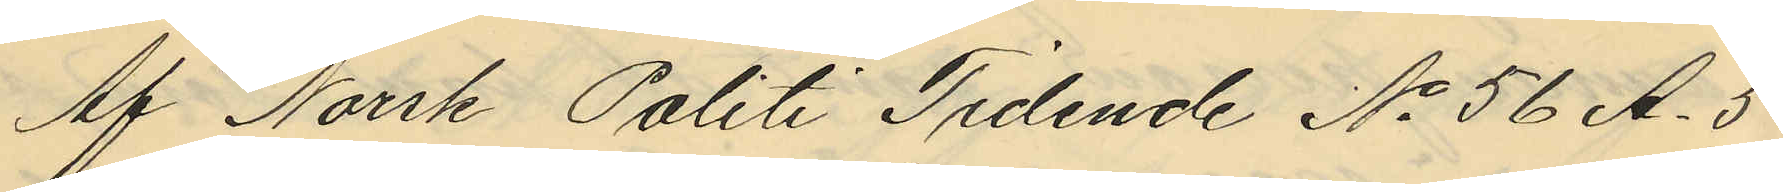Af Norsk Politi Tidende No 56 A. 5
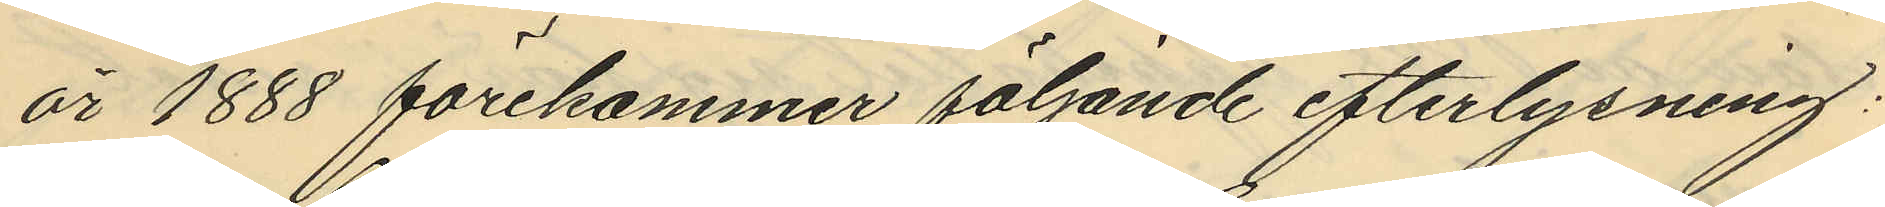år 1888 förekommer följande efterlysning:
